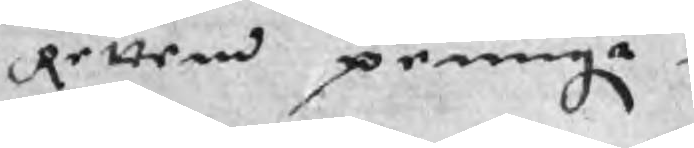Retten peningr
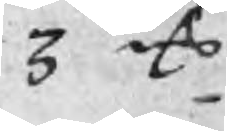3 mC
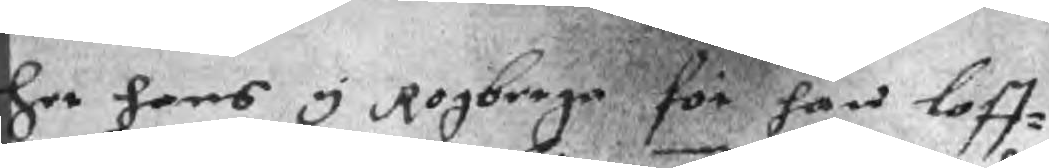her hans y Rogberga för han loff¬
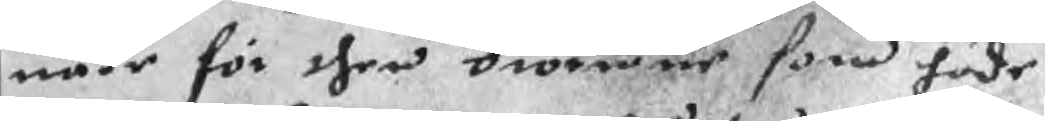uade för ther bioerner, som hade
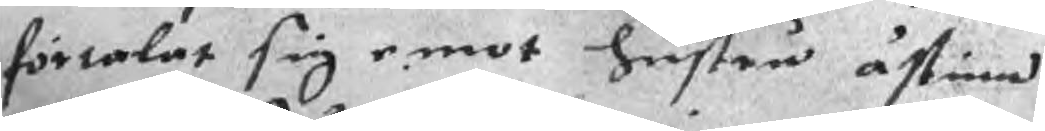förtalat sig emot hustru åstinn
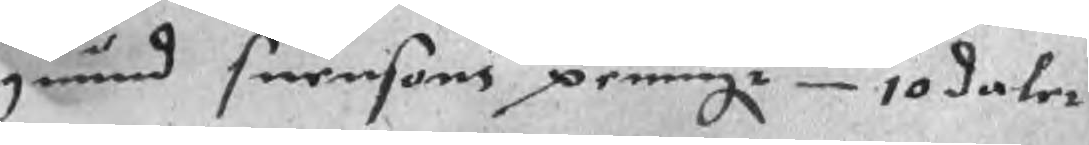guund suensons peningr 10 daler
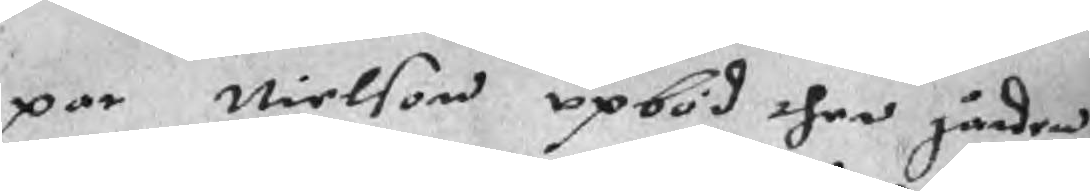par Nielson upböd ther gården
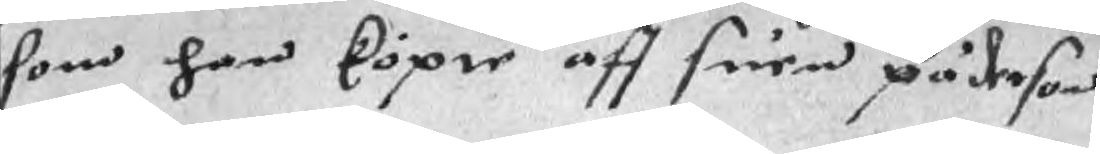som han köpte aff suen päderson
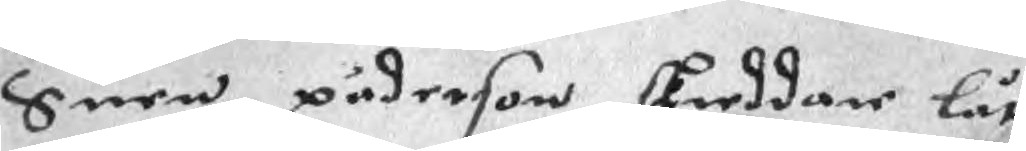Suen pederson skreddar lät
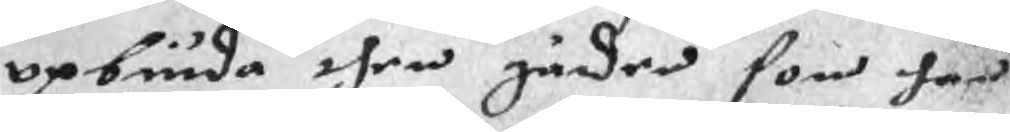opbiuda then gåden som han
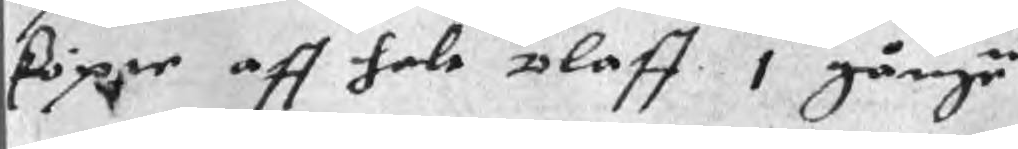köper aff hale olaff 1 gången
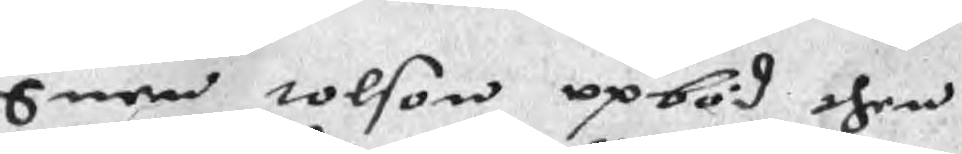Suen tolson opböd then
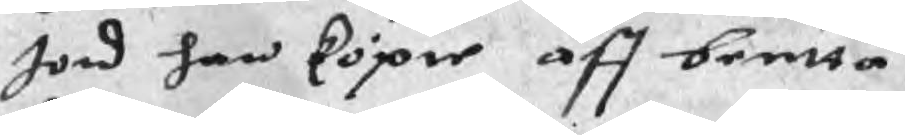Jord han köpie aff bentta
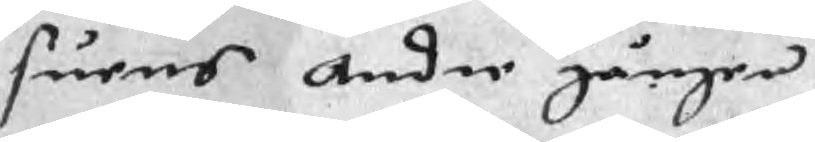suens Andre gången
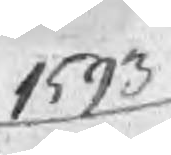1593
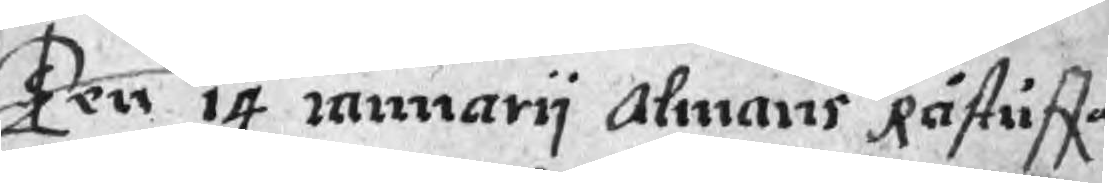Ten 14 ianuarij Almans Råstuffa
